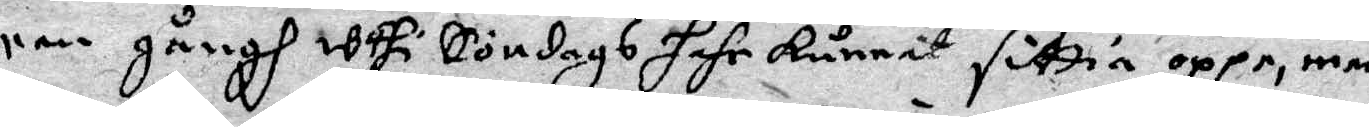een gångh uthi Söndags hahr kunnit sittia oppe, men
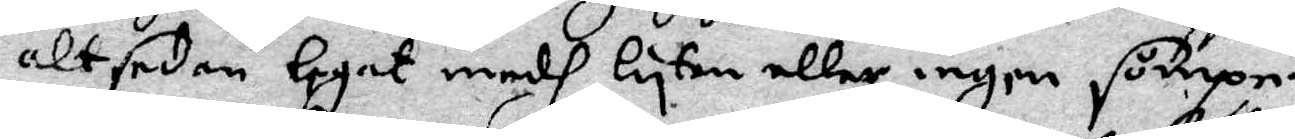altsedan legat medh lyten eller ingen sömpn.
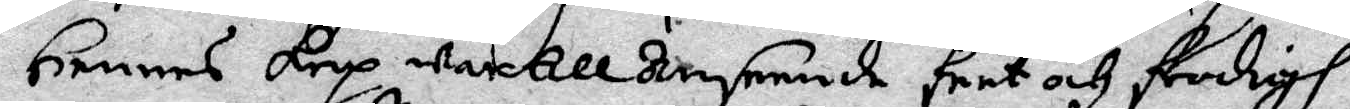Hennes krop war till anseende feet och frodigh
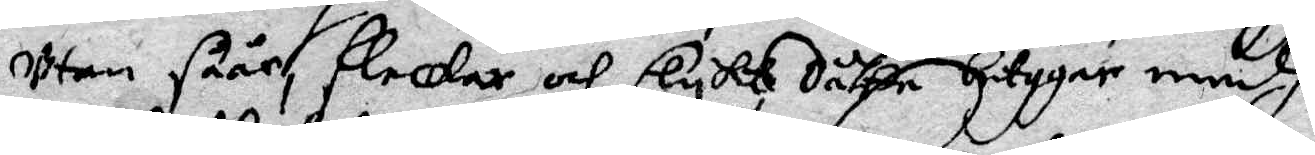utan såår, fleckar och slyks dåth betygar medh
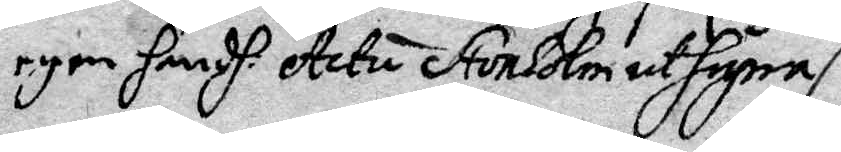egen handh. Actu Stockholm ut supra
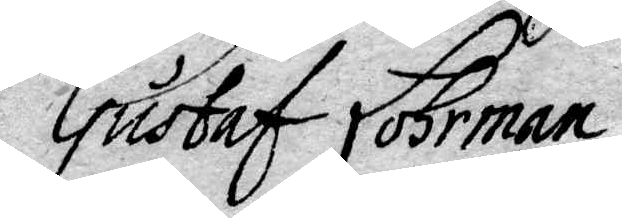Gustaf Lohrman
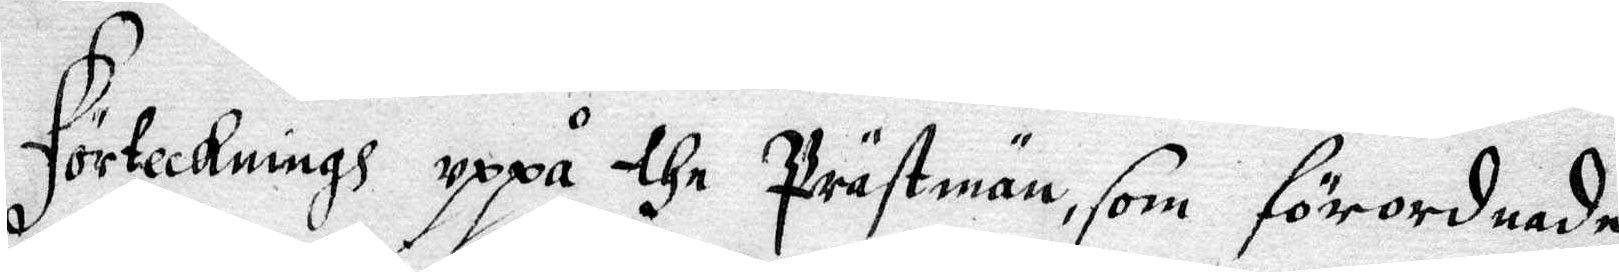Förteckning uppå the Prästmän, som förordnade
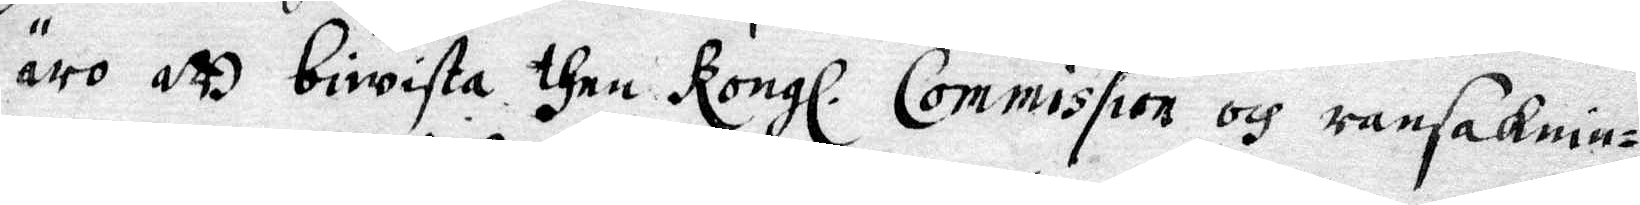äro att bewista then Kongl. Commission och ransaknin¬
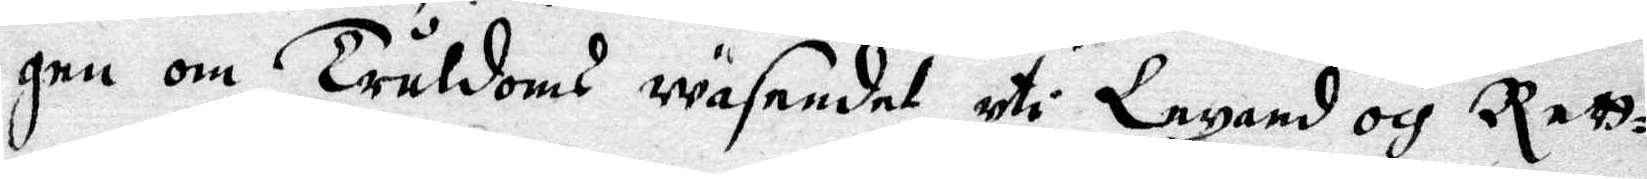gen om Truldoms wäsendet uti Lexand och Rett¬
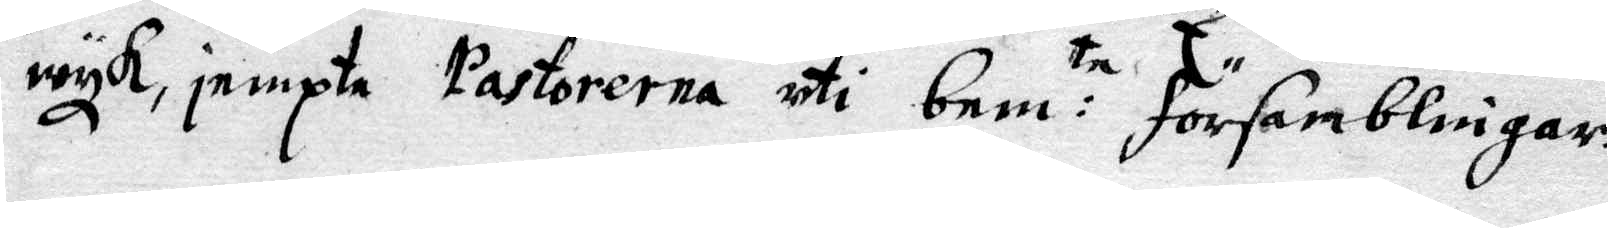wyk, jempte Pastorena uti bem:te Församblingar.
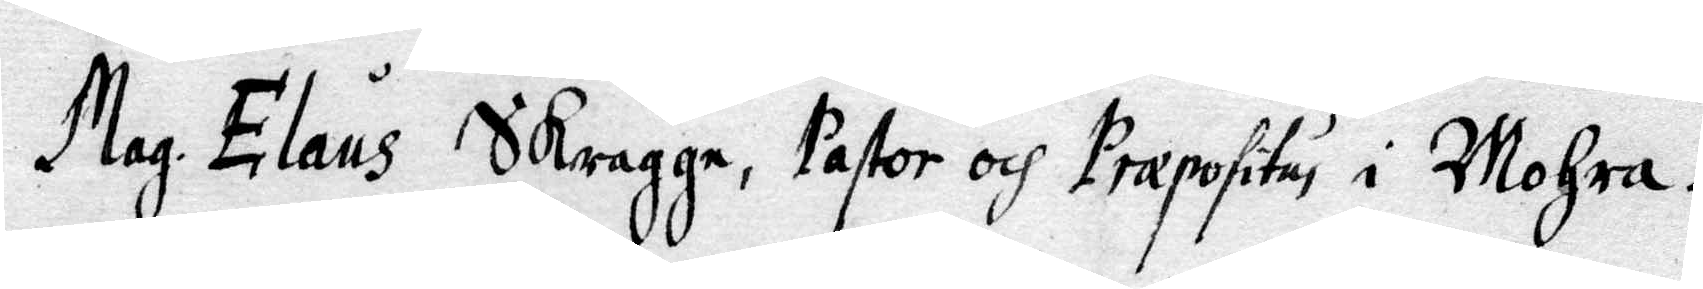Mag. Elaus Skragge, Pastor och Præpositus i Mohra.
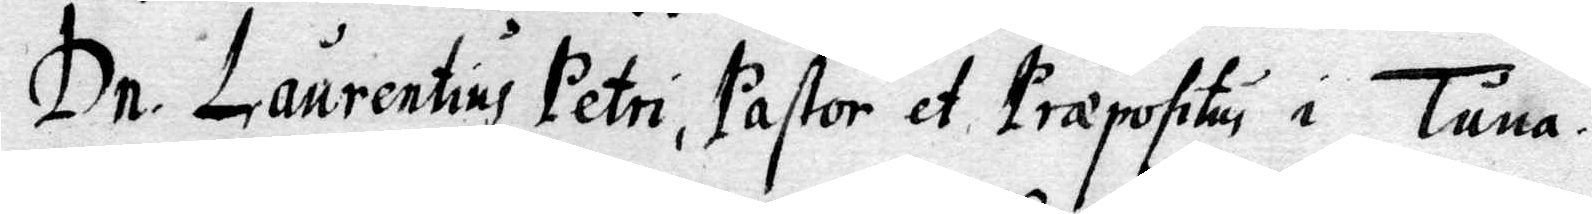Dr. Laurentius Petri, Pastor et. Præpositu i Tuna.
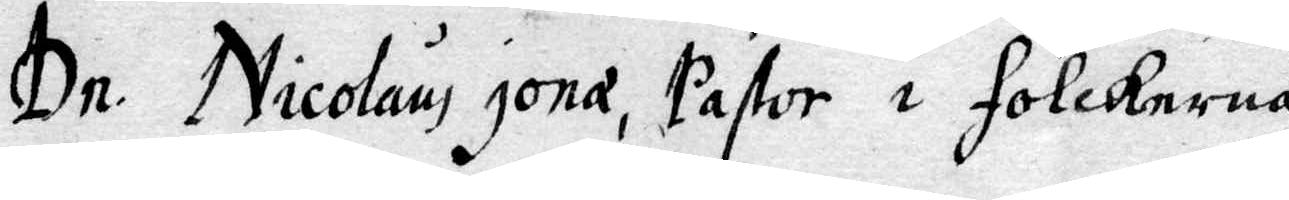Dr. Nicolaus jonæ, Pastor i Folckerna.
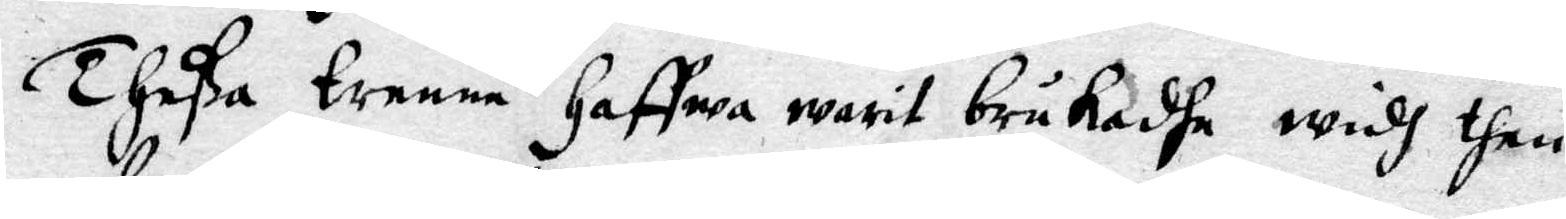Thea trenne Haffwa warit brukadhe widh then
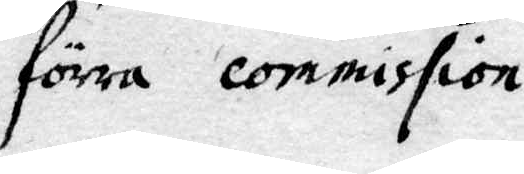förra commission.
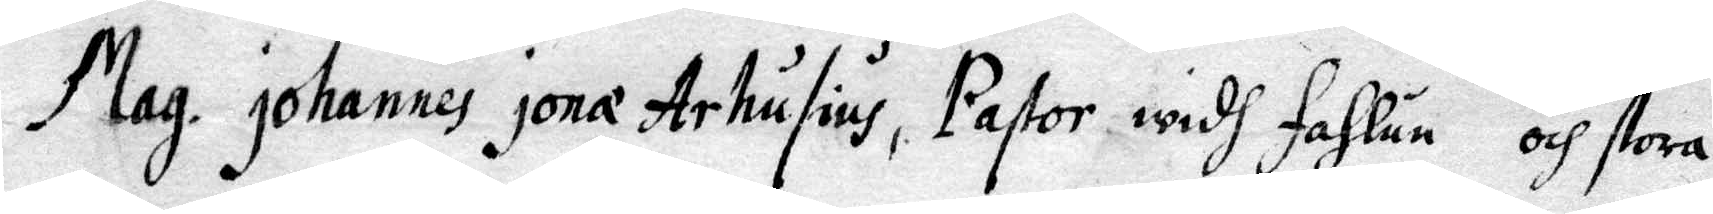Mag. johannes jonæ Arhusius, Pastor widh Fahlun och stora
